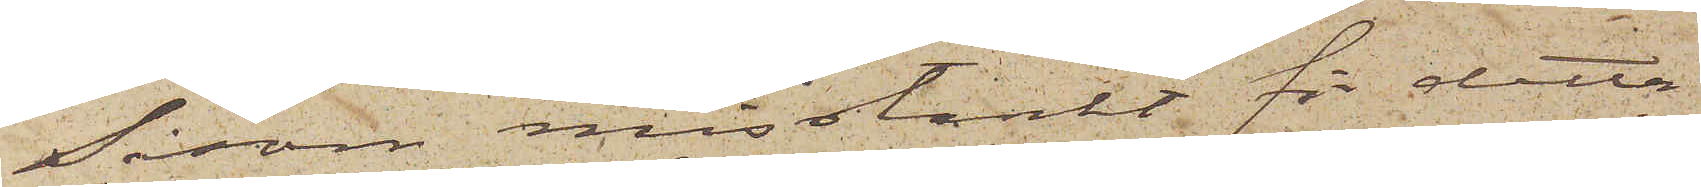Såsom misstänkt för detta
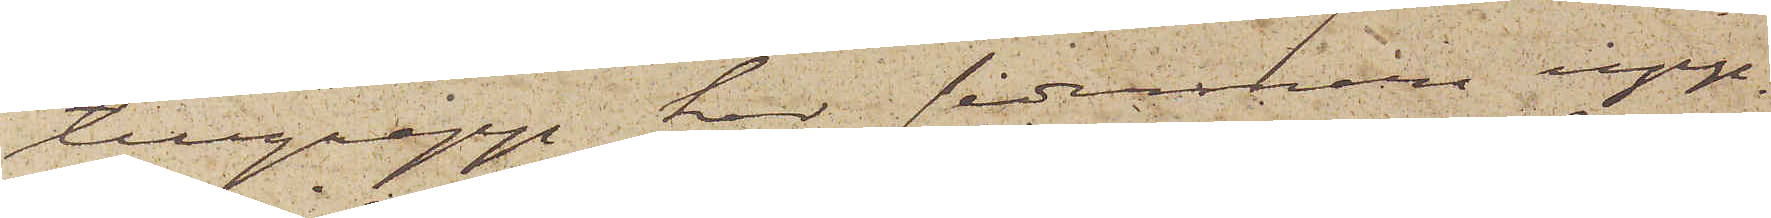tillgrepp har sedermera upp¬
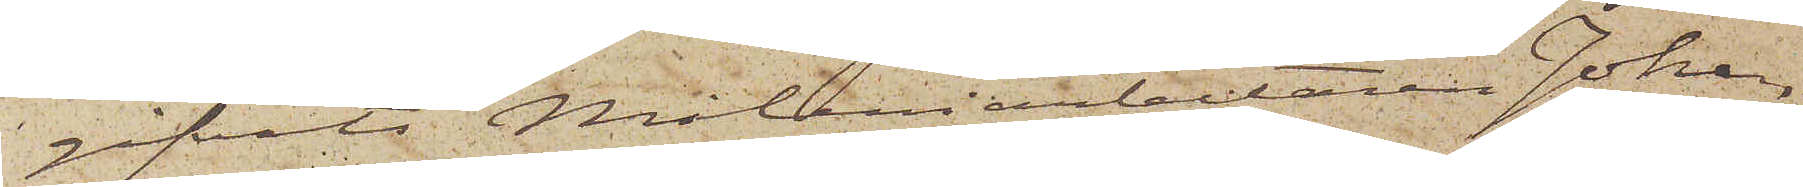gifvits Måleriarbetaren Johan¬
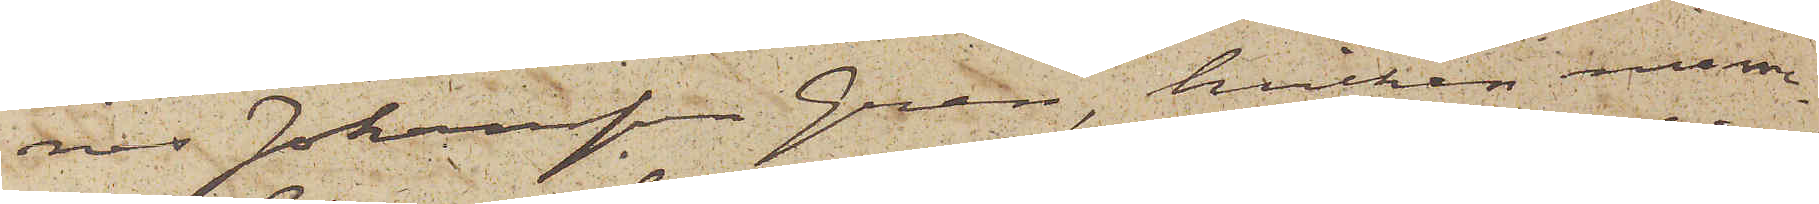nes Johansson Gren, hvilken nume¬
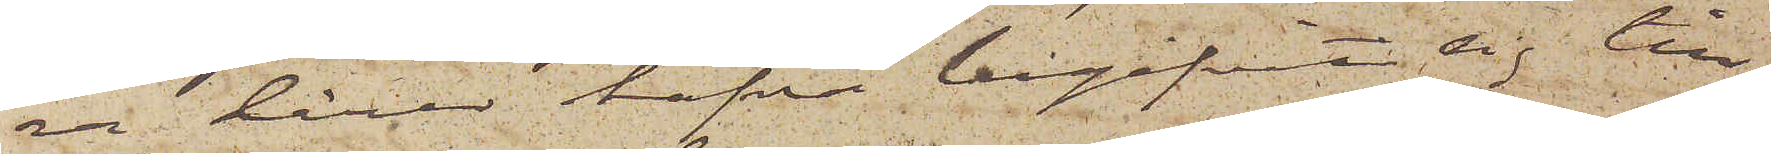ra lärer hafva begifvit sig till
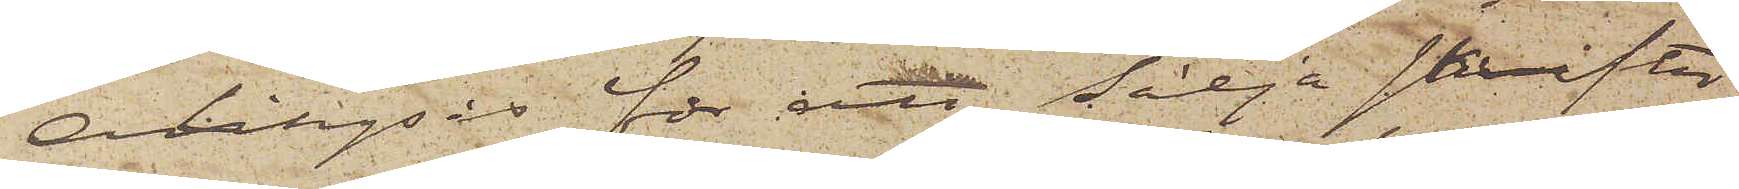Alingsås för att sälja skrifter
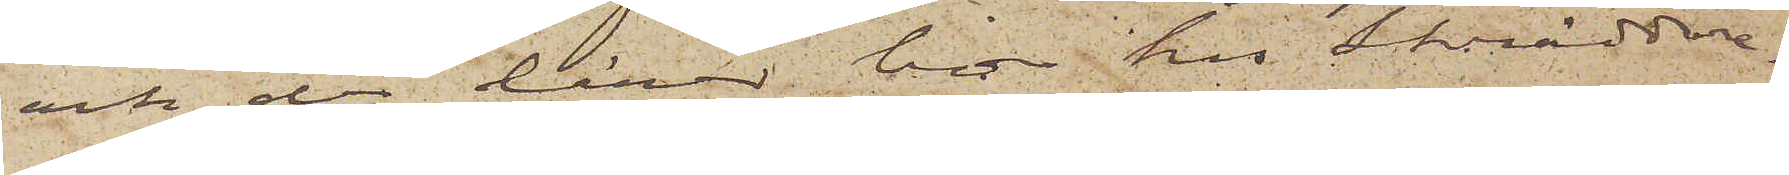och der lärer bo hos Skräddare¬
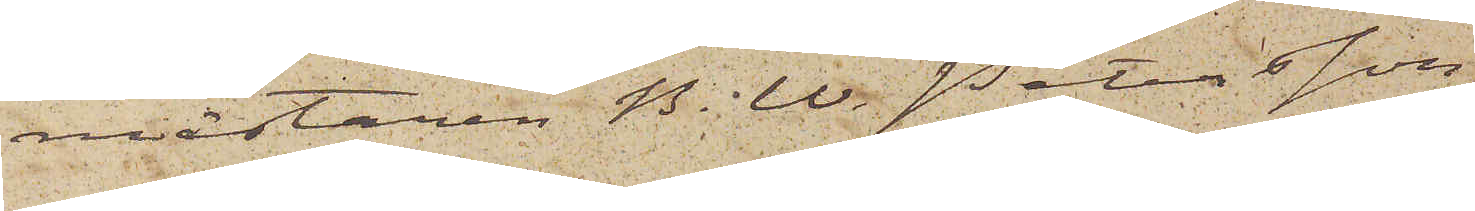mästaren B. W. Petersson.
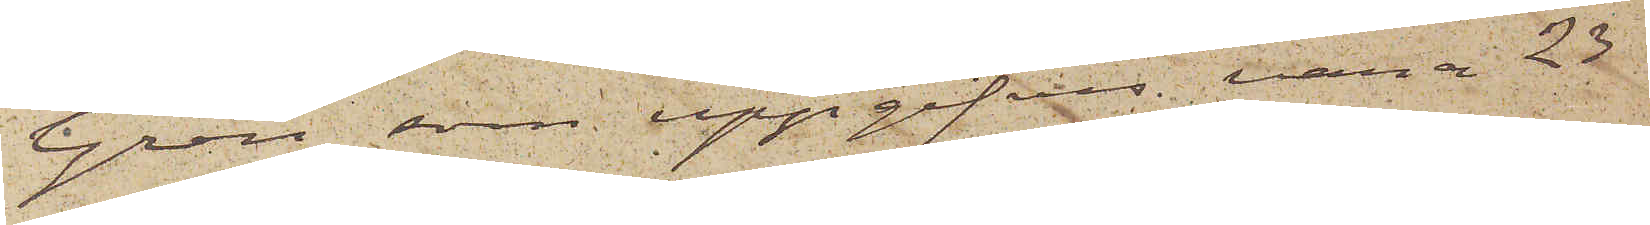Gren, som uppgifves vara 23
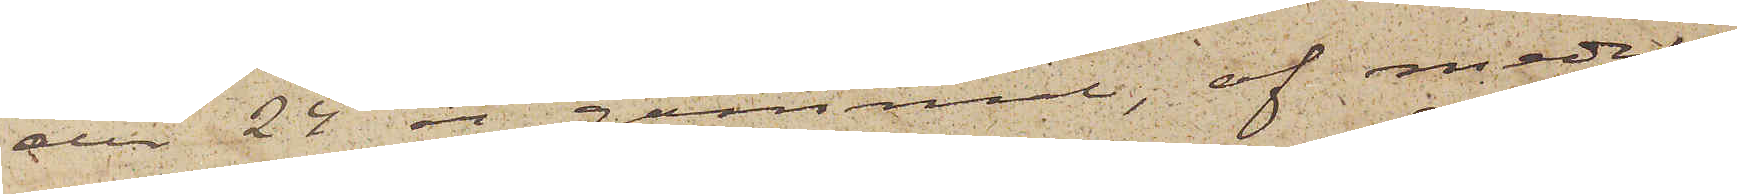eller 24 år gammal, af medel¬
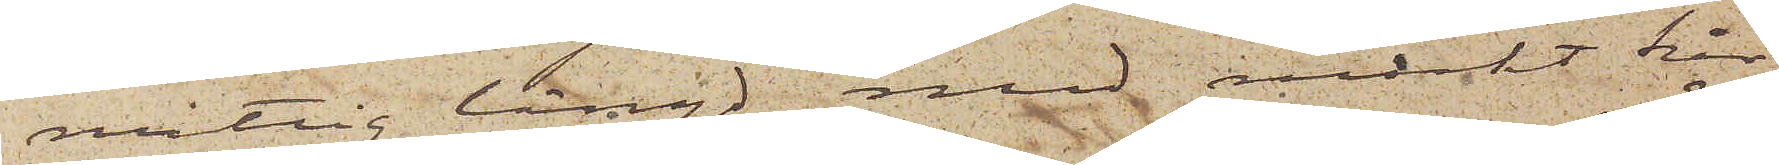måttig längd, med mörkt hår,
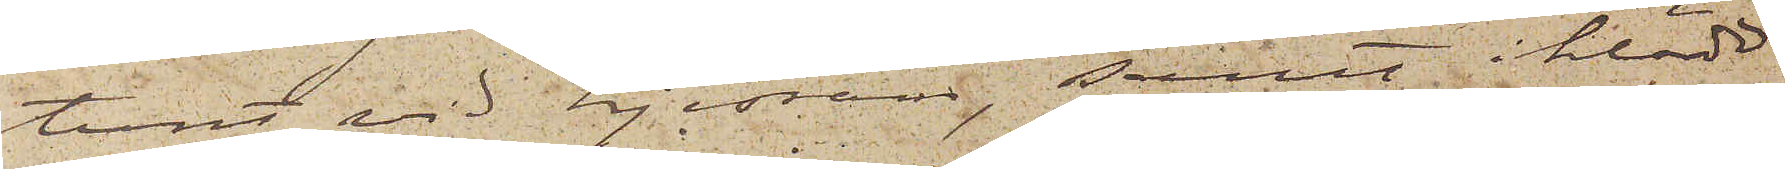tunt vid hjessan; samt iklädd
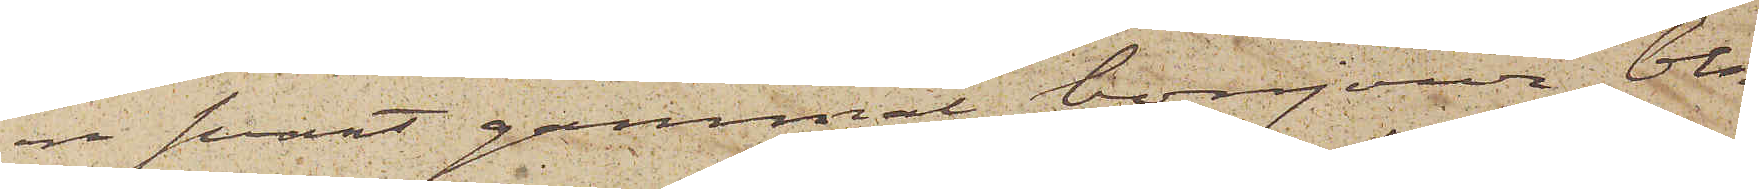en svart gammal bonjour, blå
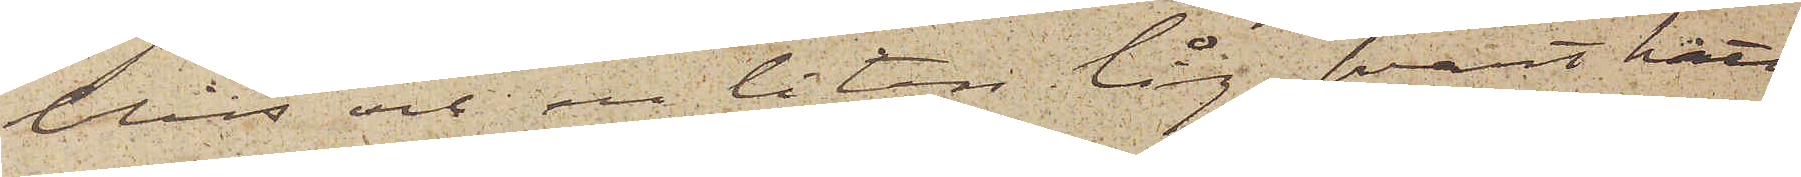blus och en liten låg svart hatt
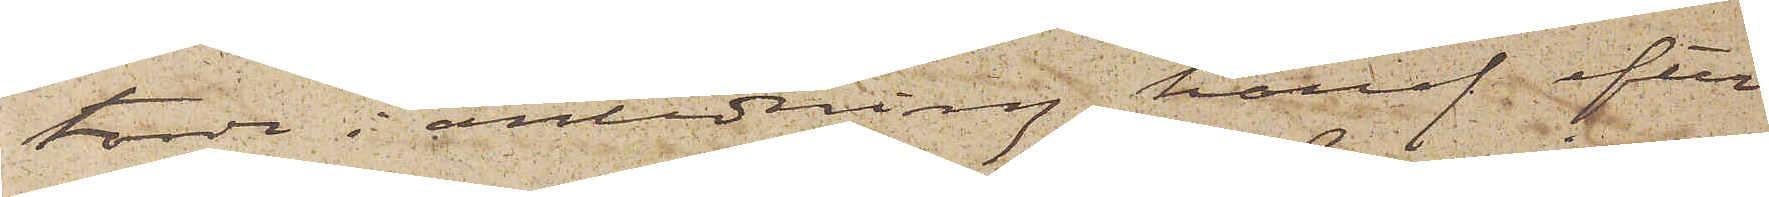torde i anledning häraf efter¬
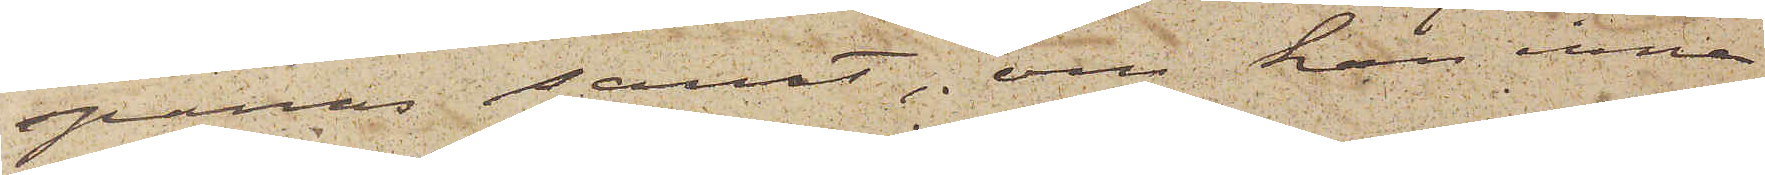spanas samt, om han inne¬
